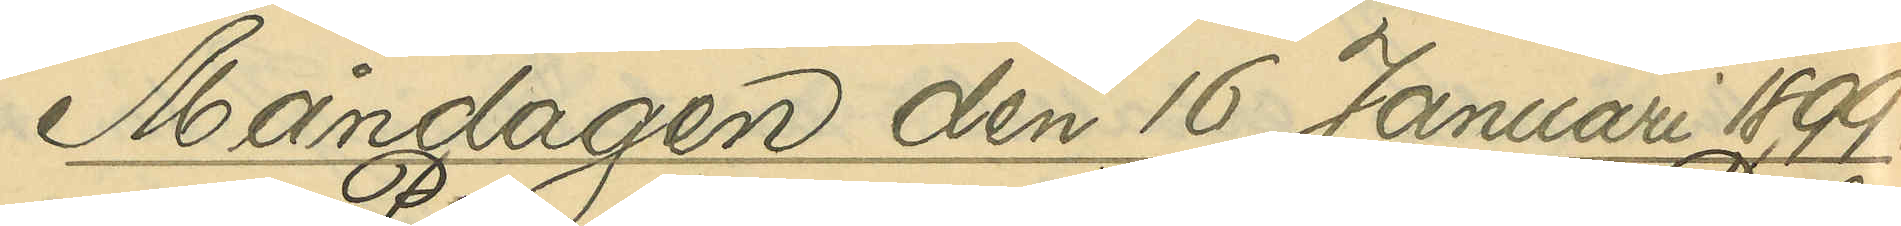Måndagen den 16 Januari 1899.
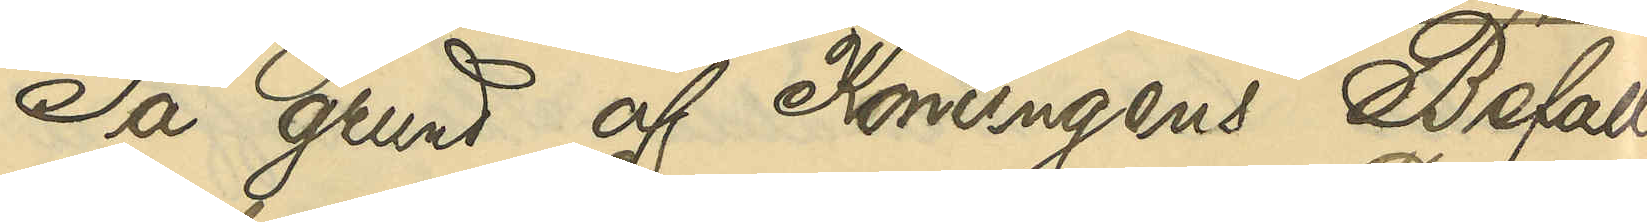På grund af Konungens Befall¬
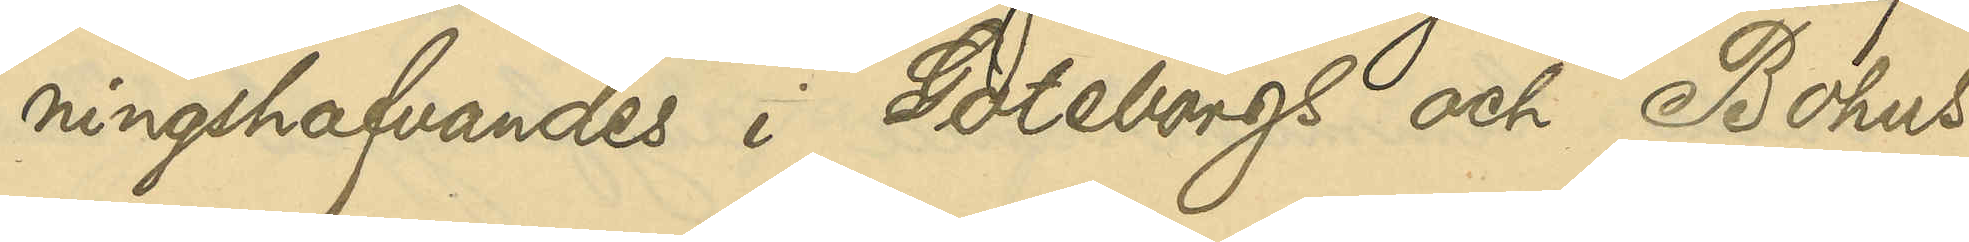ningshafvandes i Göteborgs och Bohus
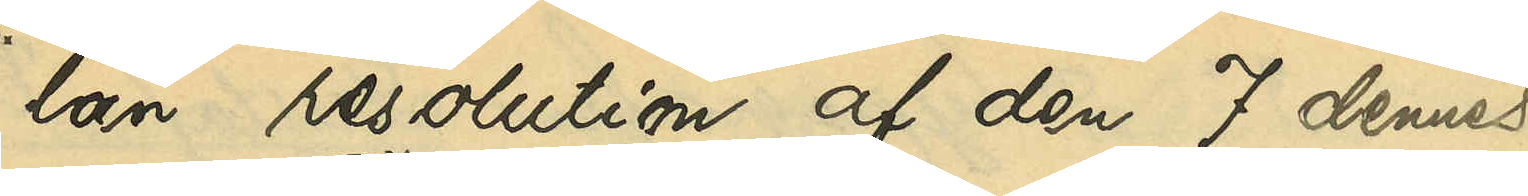län resolution af den 7 dennes,
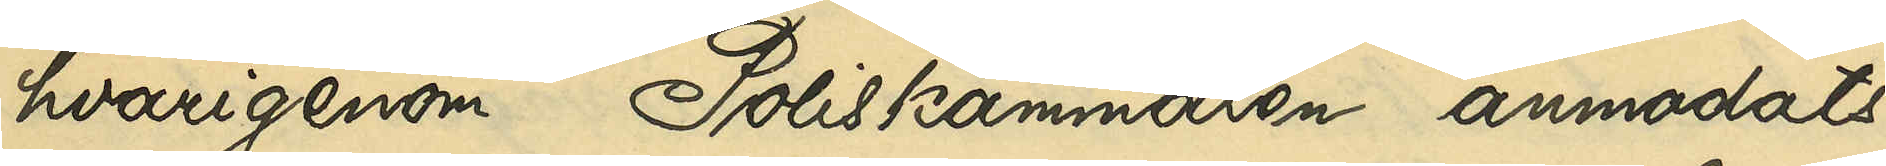hvarigenom Poliskammaren anmodats
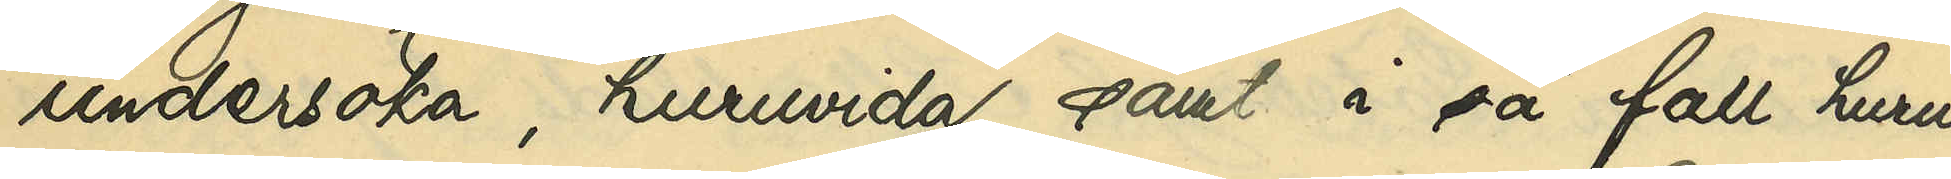undersöka, huruvida samt i så fall huru
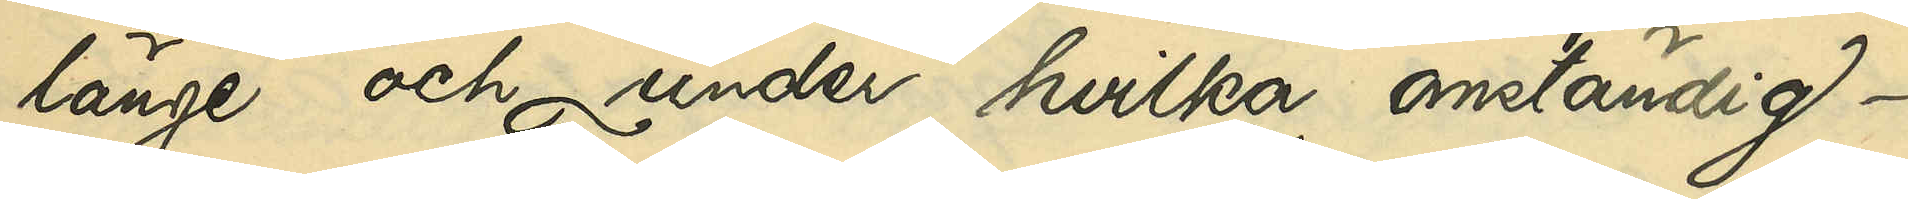länge och under hvilka omständig¬
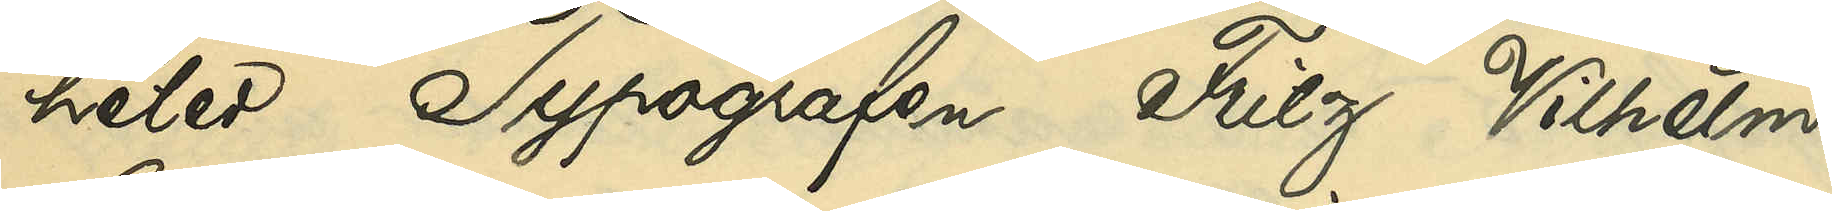heter Typografen Fritz Vilhelm
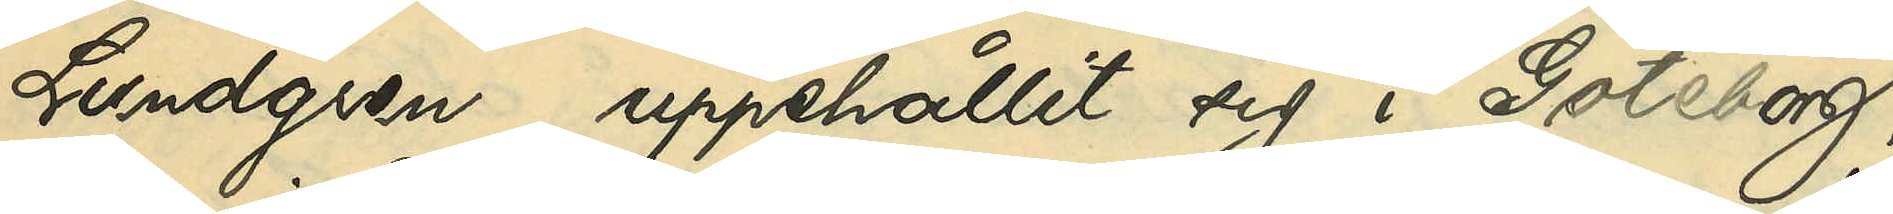Lundgren uppehållit sig i Göteborg,
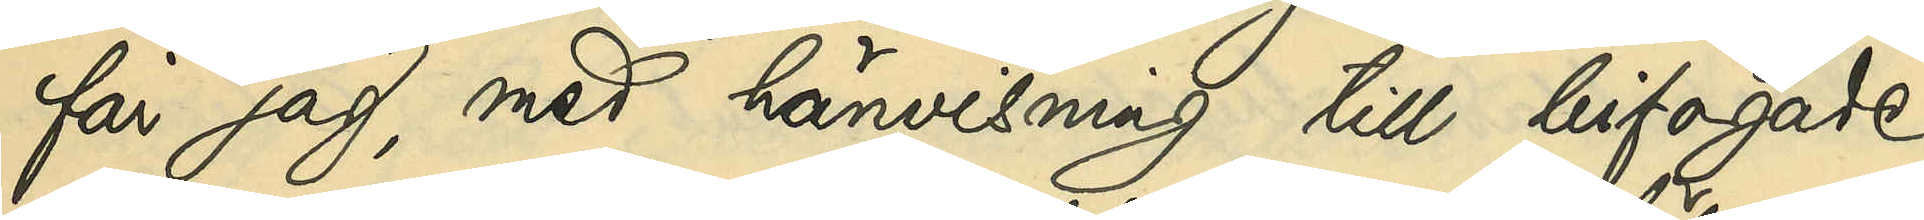får jag med hänvisning till bifogade
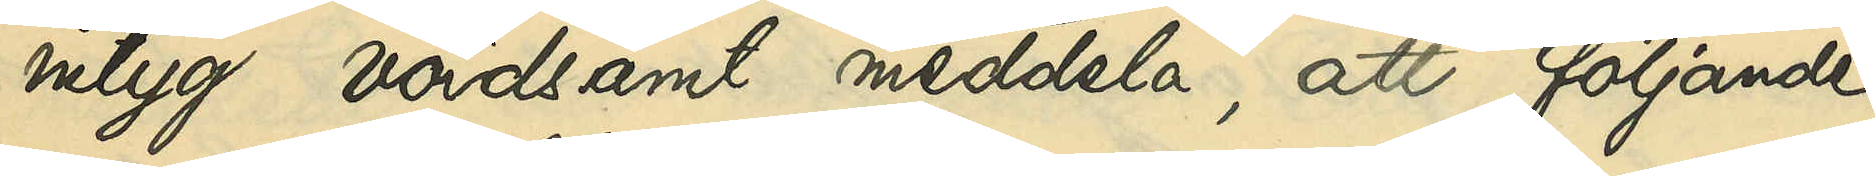intyg vördsamt meddela, att följande
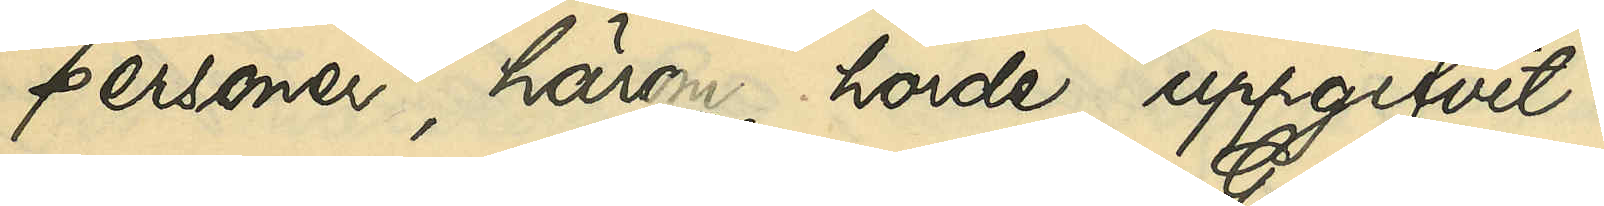personer, här hörde, uppgifvit:
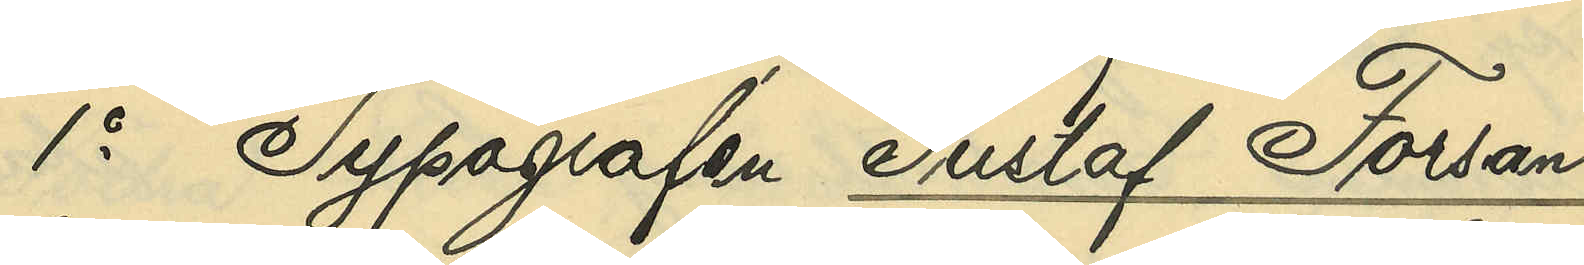1o Typografen Gustaf Forsan¬
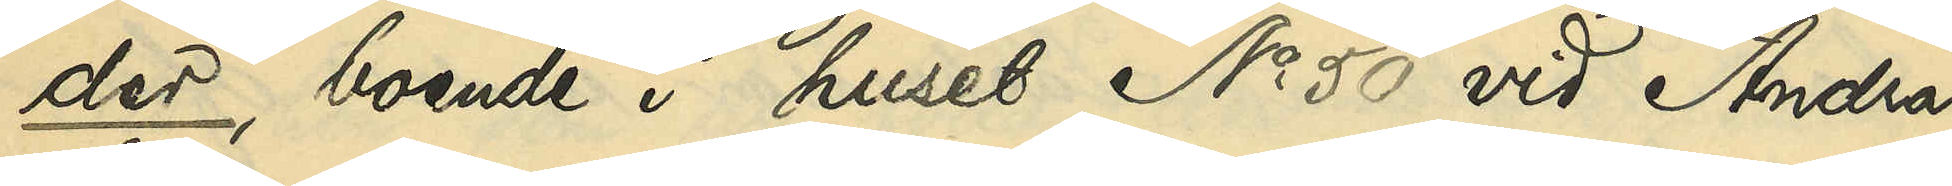der, boende i huset No 50 vid Andra
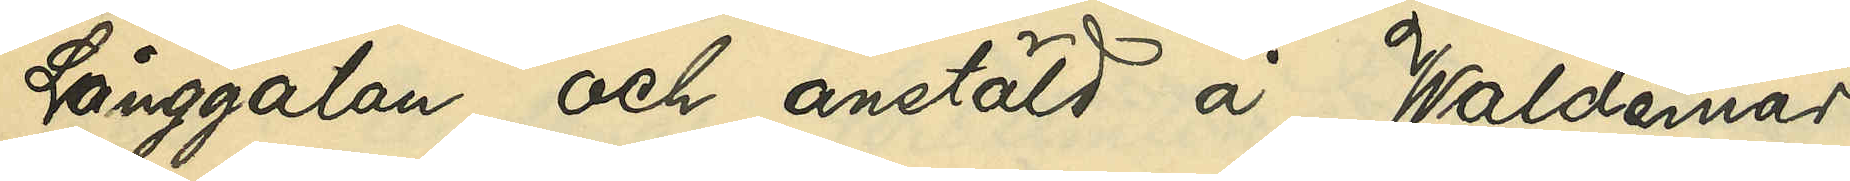Långgatan och anstäld å Waldemar
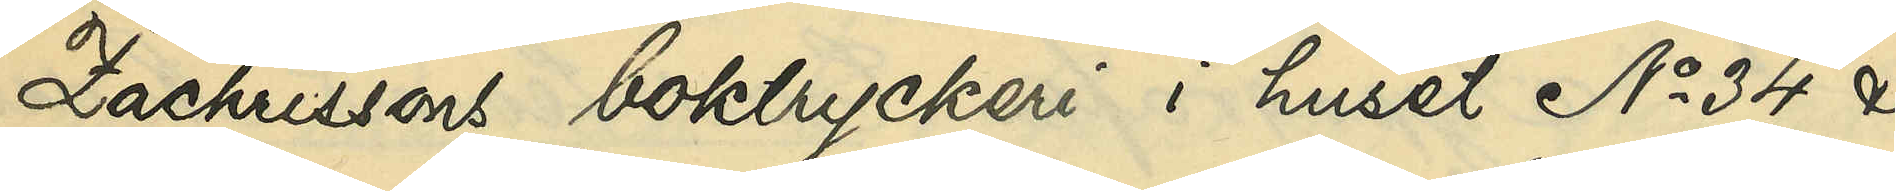Zachrissons boktryckeri i huset No 34 &
